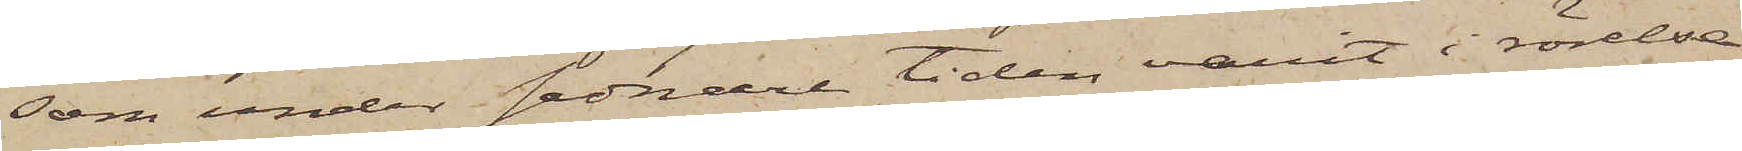som under sednare tiden varit i rörelse
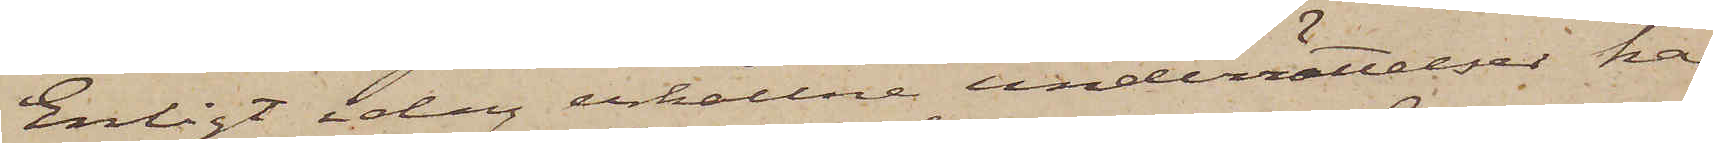Enligt idag erhållne underrättelser har
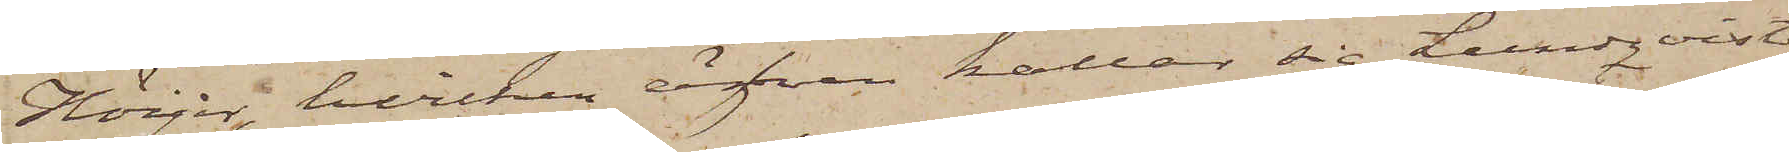Höijer, hvilken äfven kallar sig Lundqvist
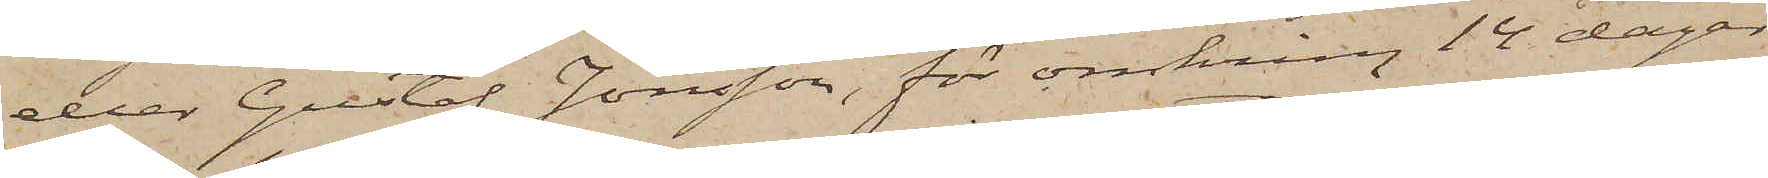eller Gustaf Jonsson, för omkring 14 dagar
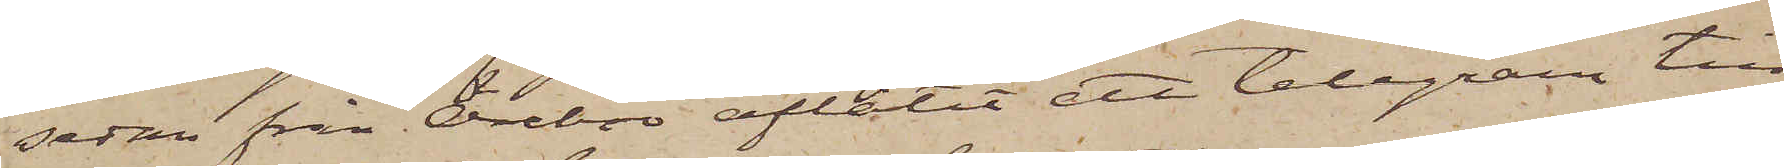sedan från Örebro aflåtit ett telegram till
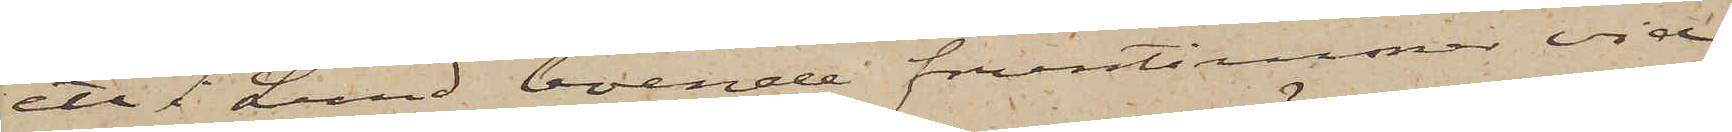ett i Lund boende fruntimmer vid
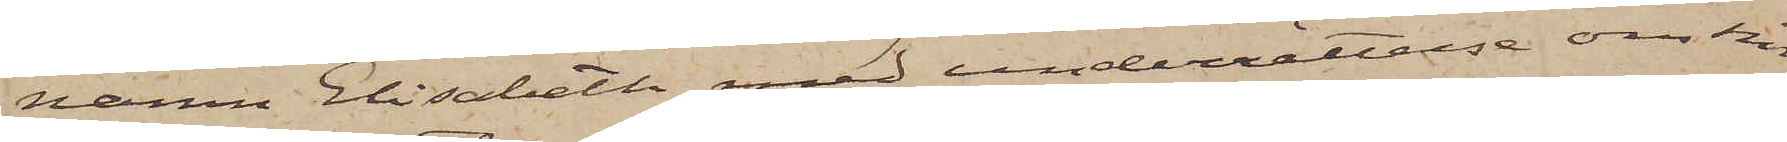namn Elisabeth med underrättelse om sin
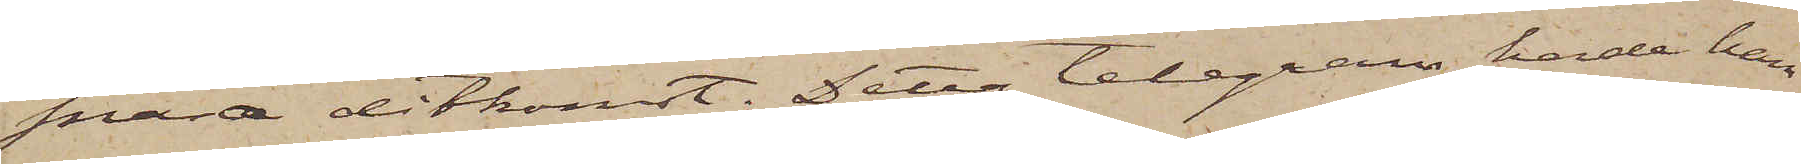snara ditkomst. Detta telegram hade han
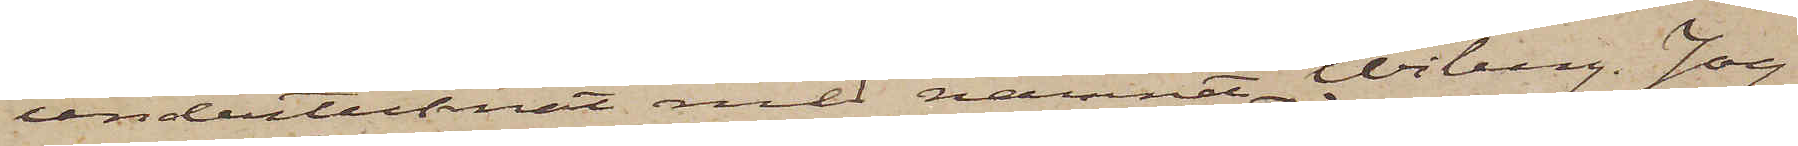undertecknat med namnet Wiberg. Jag
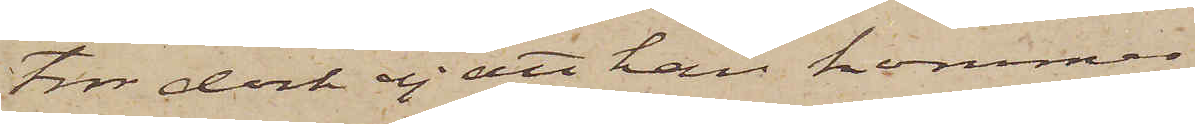tror dock ej att han kommer
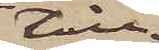till
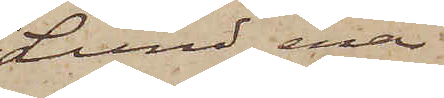Lund, enär
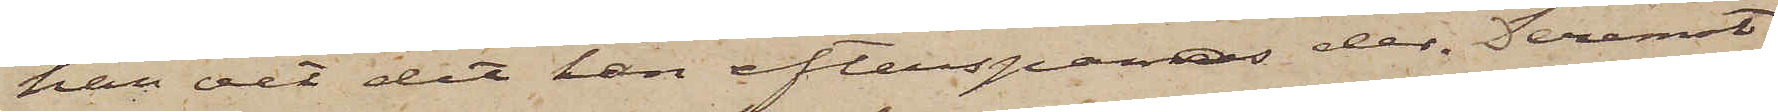han vet det han efterspanas der. Deremot
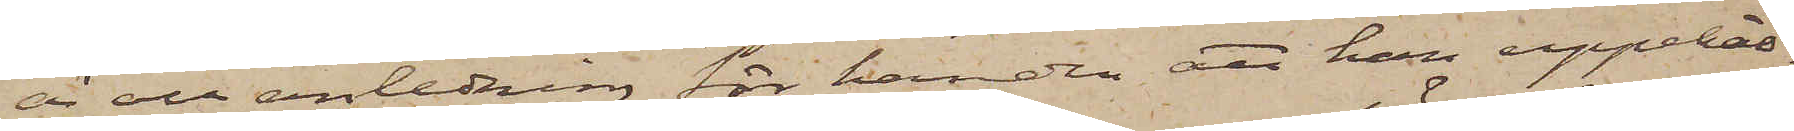är all anledning för handen att han uppehål¬
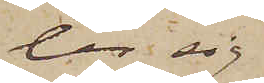ler sig
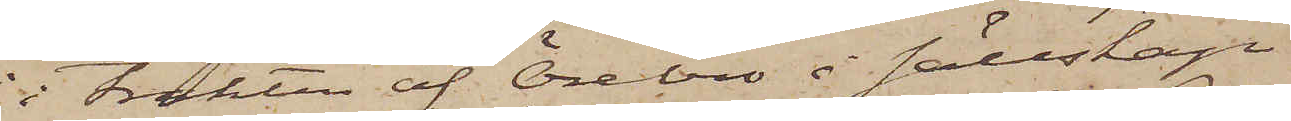i trakten af Örebro i sällskap
